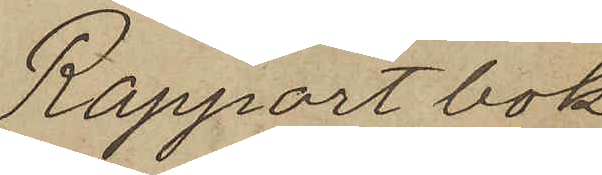Rapportbok
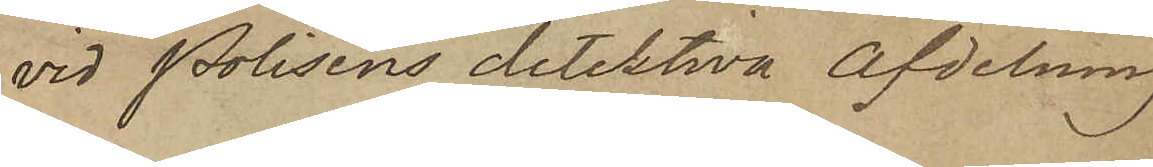vid Polisens detektiva afdelning
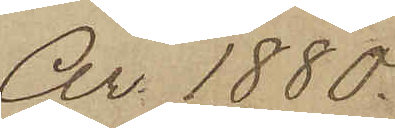År 1880.
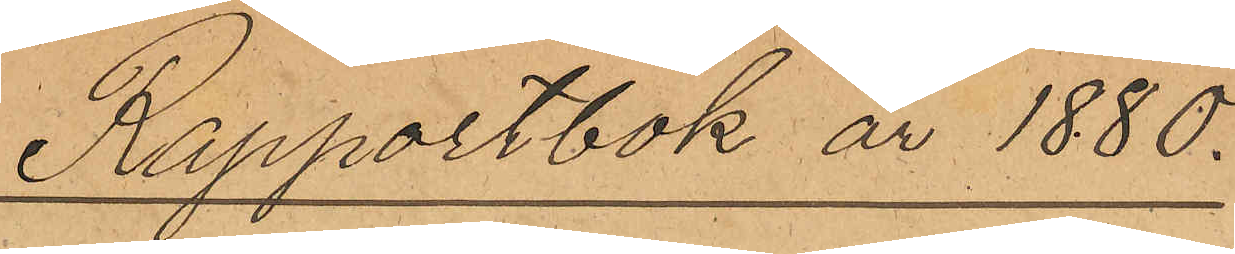Rapportbok år 1880.
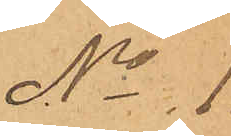No 1.
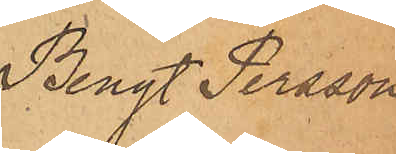Bengt Persson
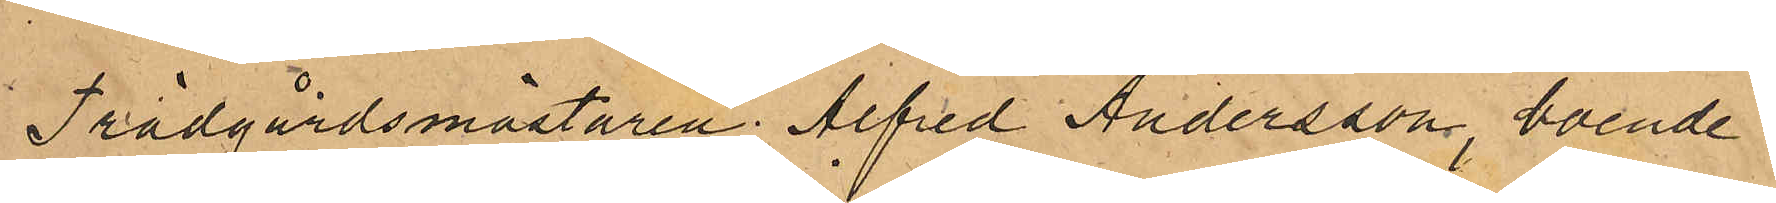Trädgårdsmästaren Alfred Andersson, boende i
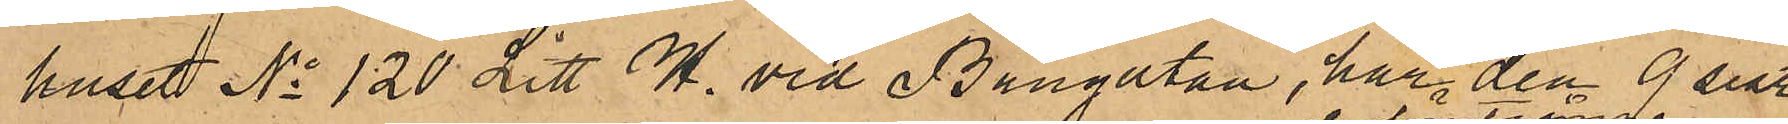huset No 120 Litt H. vid Bangatan, har den 9 sist.
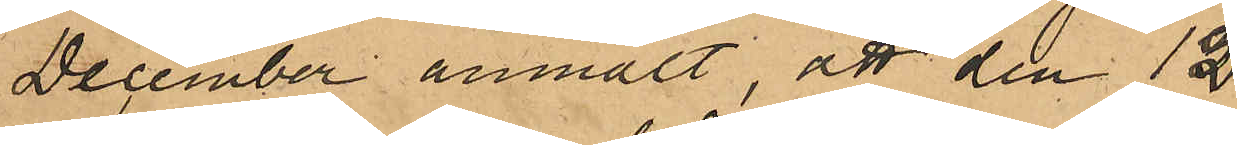December anmält, att den 12
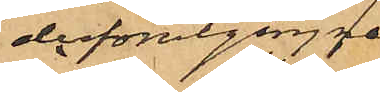derförutgågne
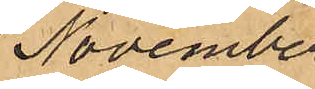November
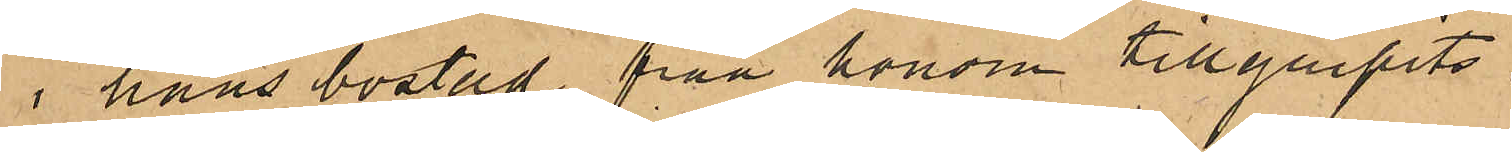i hans bostad från honom tillgripits:
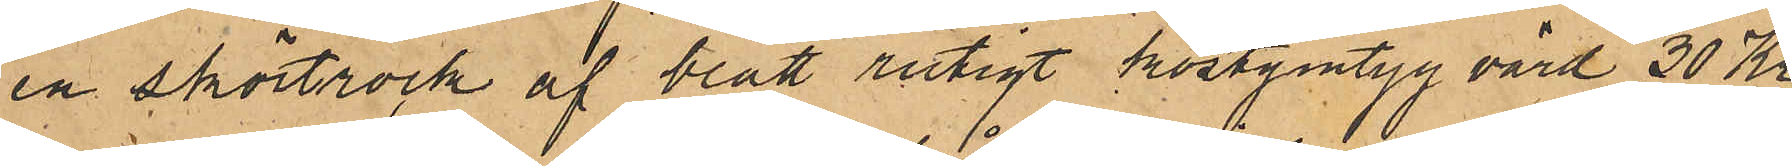en skörtrock af blått rutigt kostymtyg värd 30 Kr.
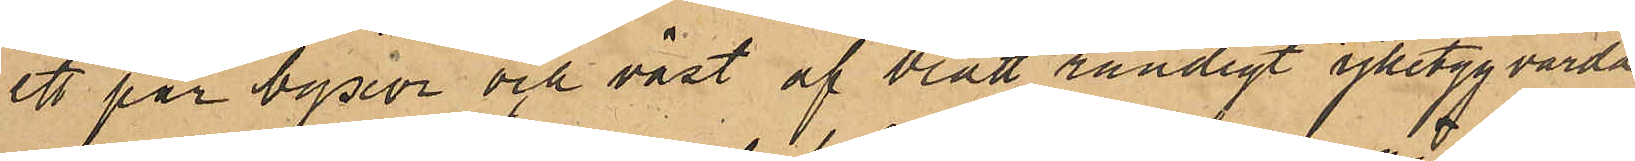ett par byxor och väst af blått randigt ylletyg värda
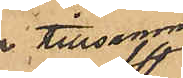tillsammans
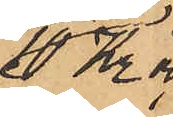10 Kr och
